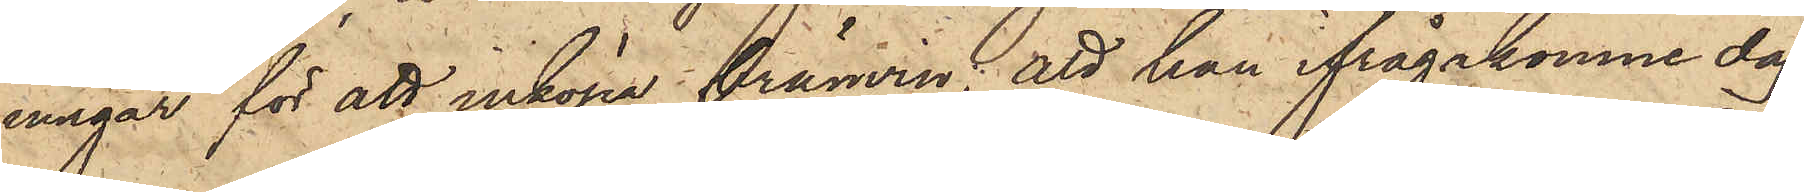ningar för att inköpa bränvin; att han ifrågakomne dag
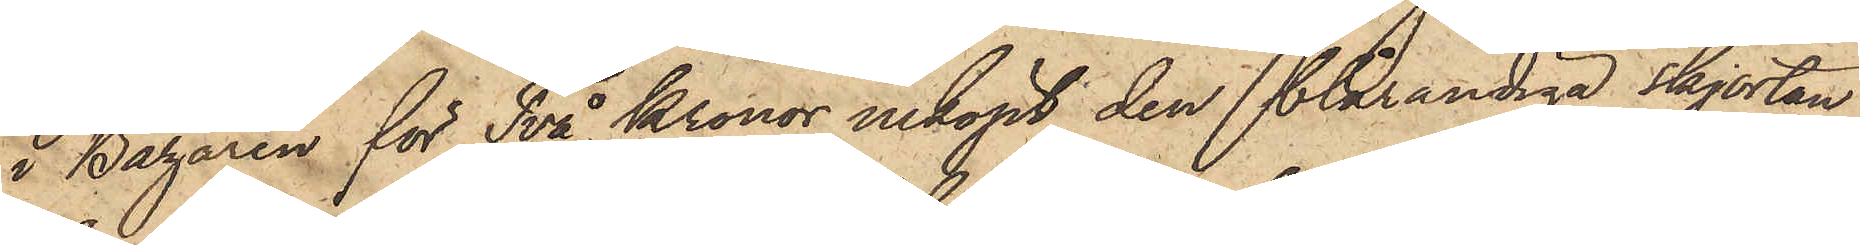i Bazaren för Två Kronor inköpt den blårandiga skjortan
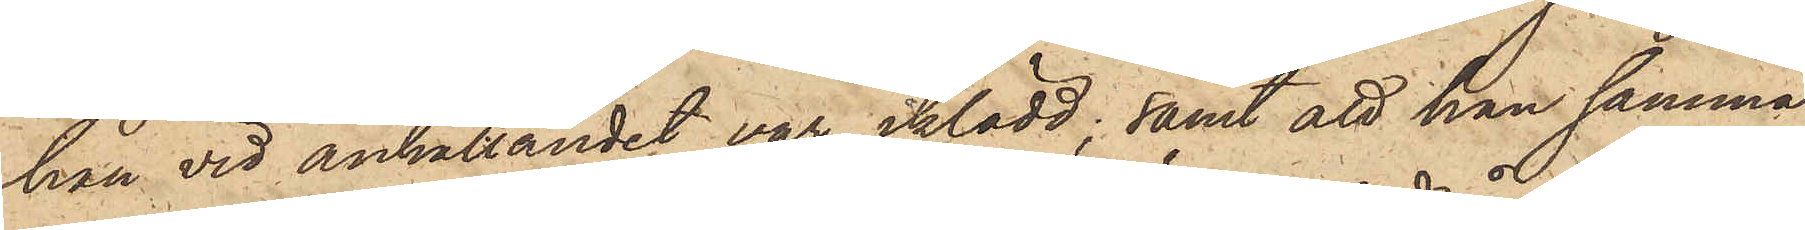han vid anhållandet var iklädd; samt att han samma
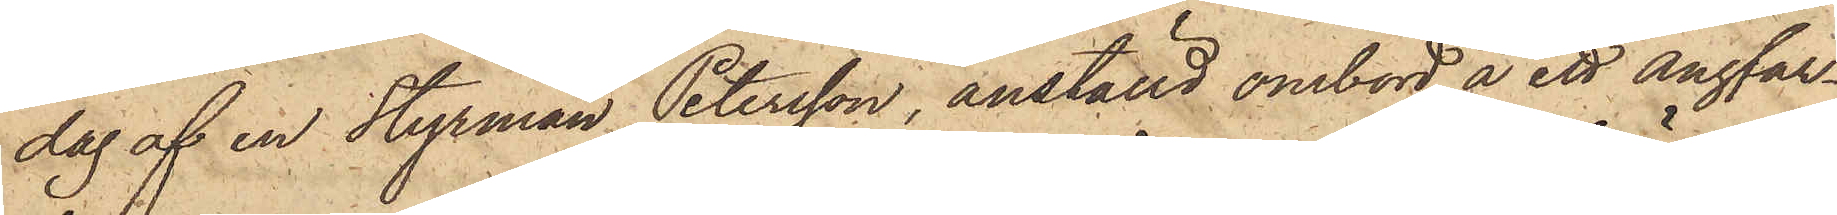dag af en Styrman Petersson, anställd ombord å ett ångfar¬
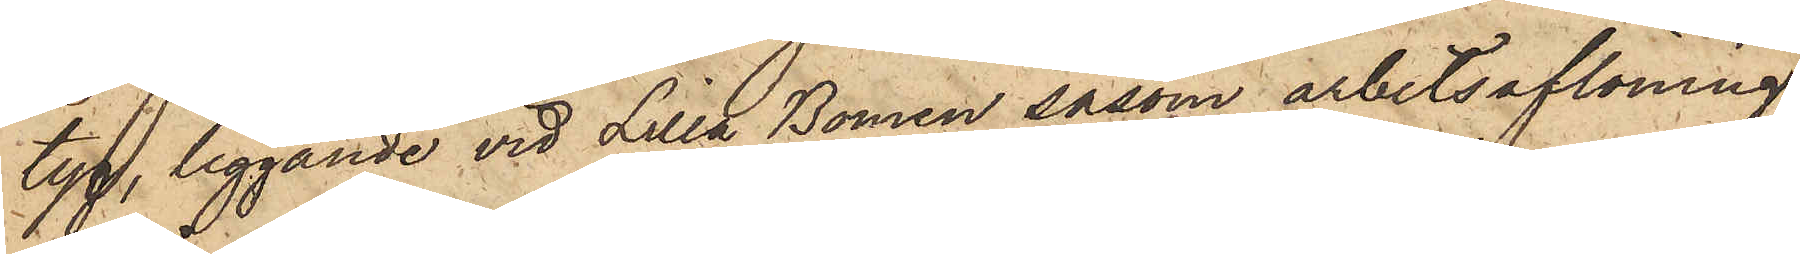tyg, liggande vid Lilla Bommen såsom arbetsaflöning
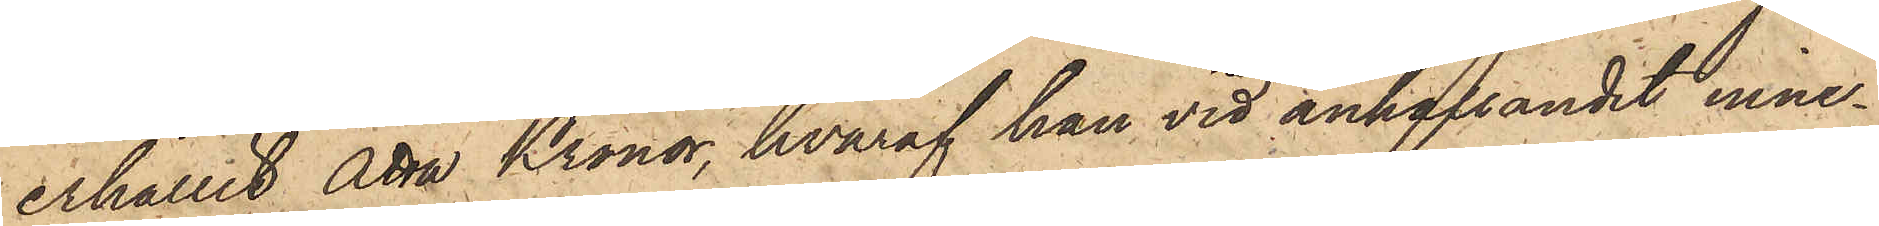erhållit Åtta Kronor, hvaraf han vid anhållandet inne¬
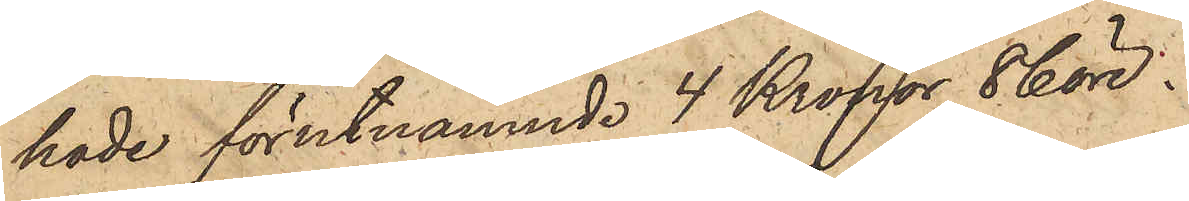hade förutnämnde 4 Kronor 86 öre.
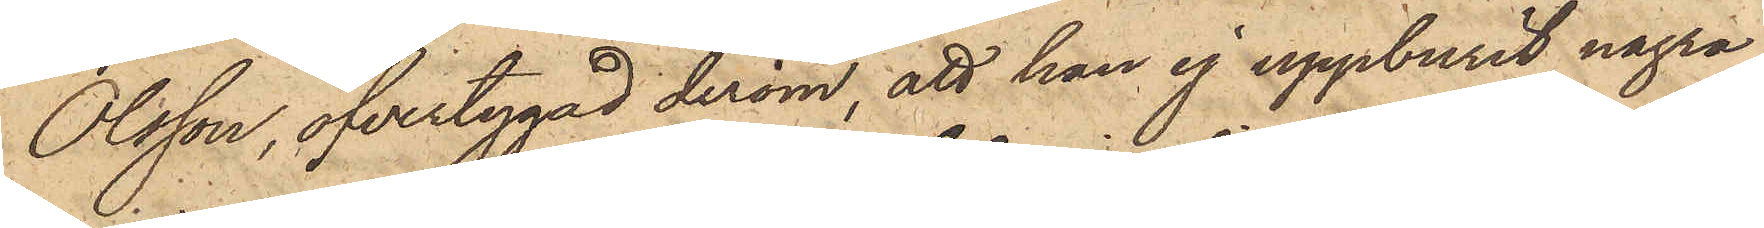Olsson, öfvertygad derom, att han ej uppburit några
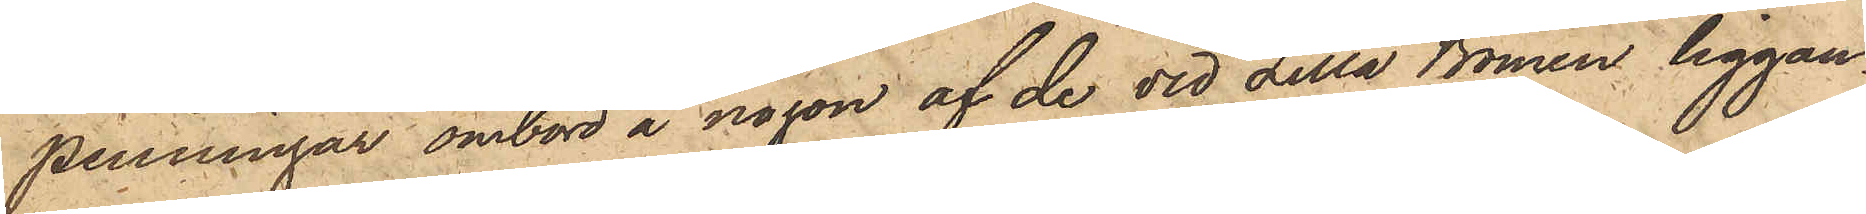penningar ombord å någon af de vid Lilla Bommen liggan¬
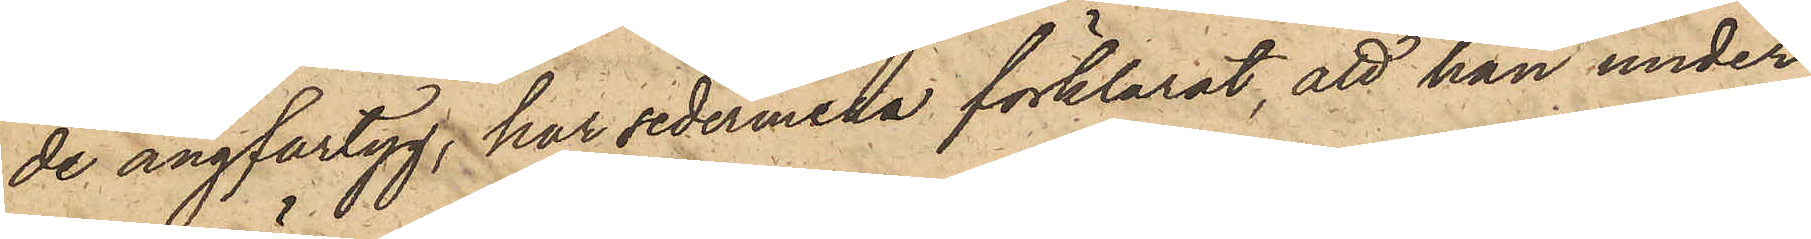de ångfartyg, har sedermera förklarat, att han under
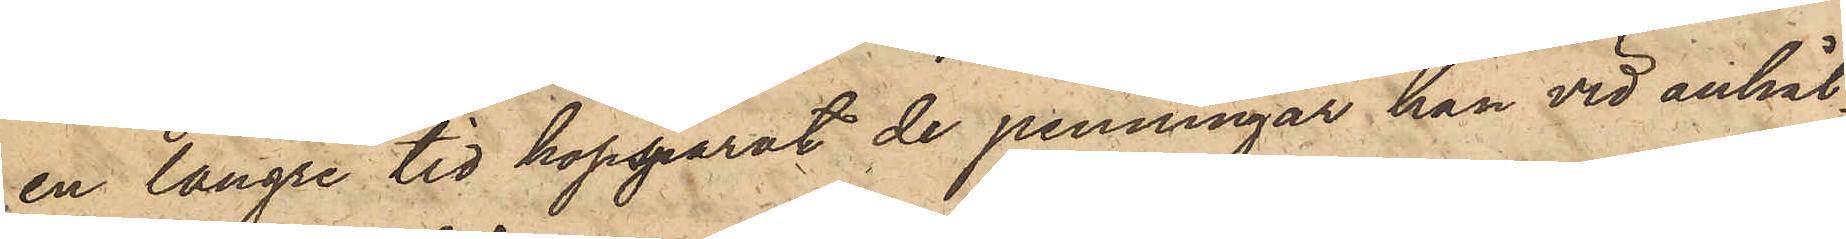en längre tid hopsparat de penningar han vid anhål¬
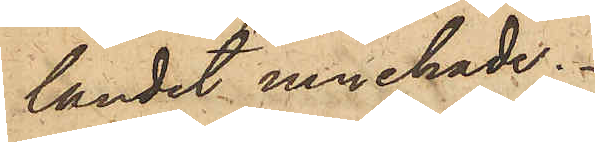landet innehade.
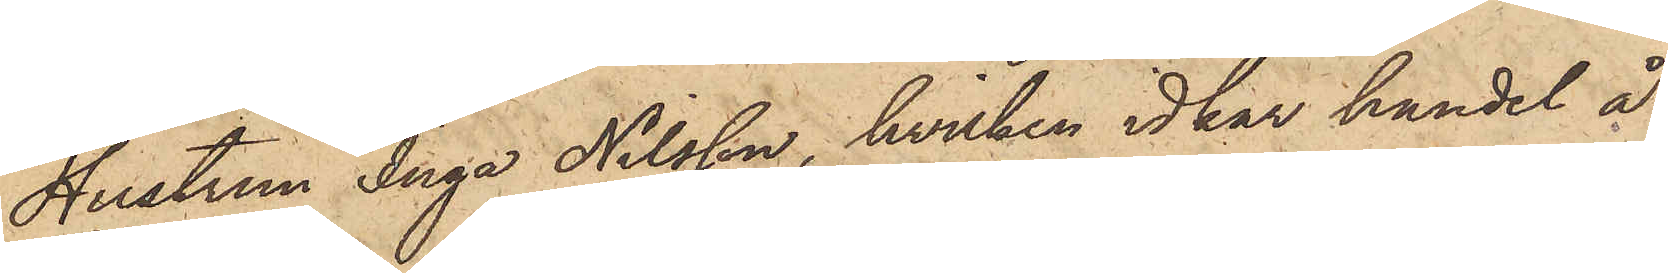Hustrun Inga Nilsson, hvilken idkar handel å
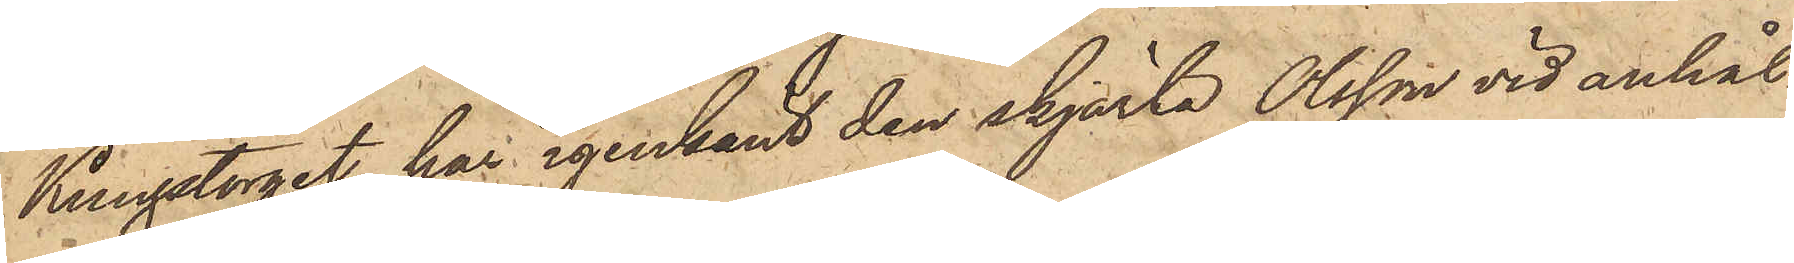Kungstorget, har igenkänt den skjorta Olsson vid anhål¬
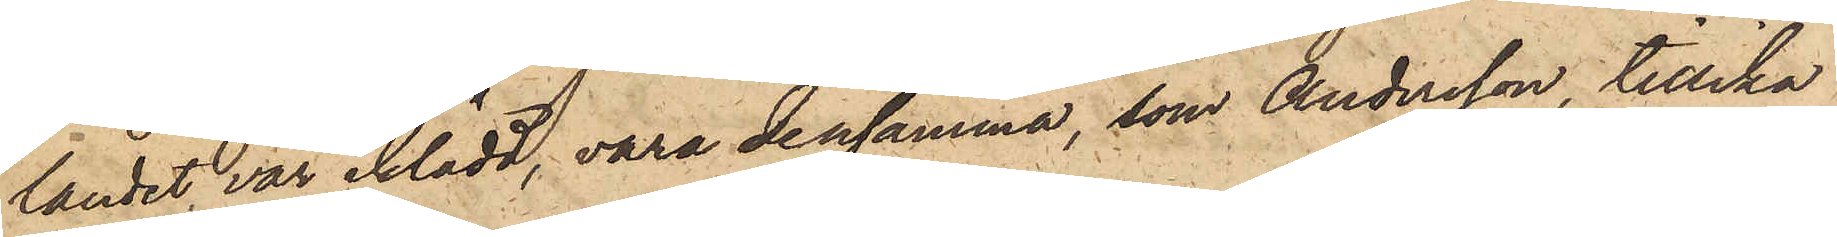landet var iklädd, vara densamma, som Andersson tillika
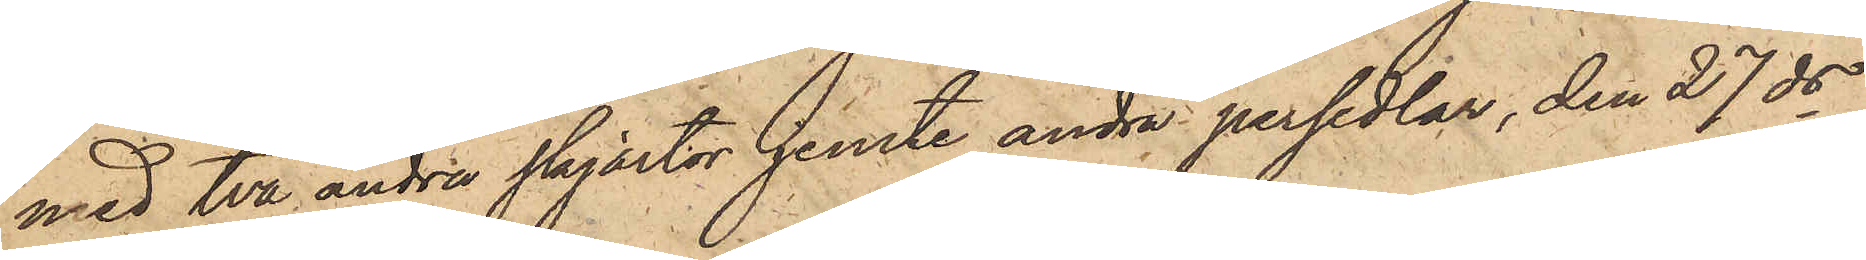med två andra skjortor jemte andra persedlar, den 27 ds
